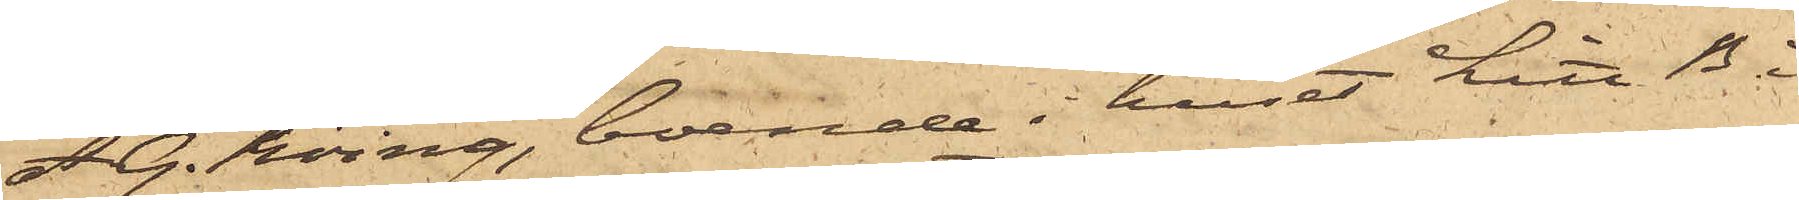A. G. Röing, boende i huset Litt B. i
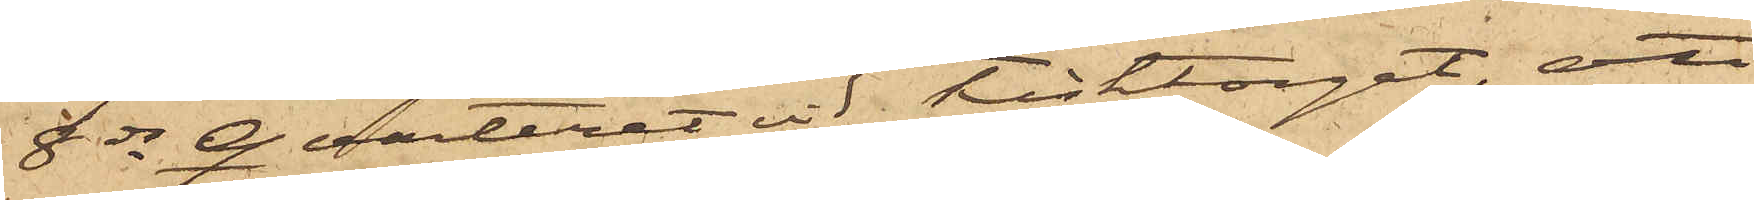8de Quarteret vid Fisktorget, att
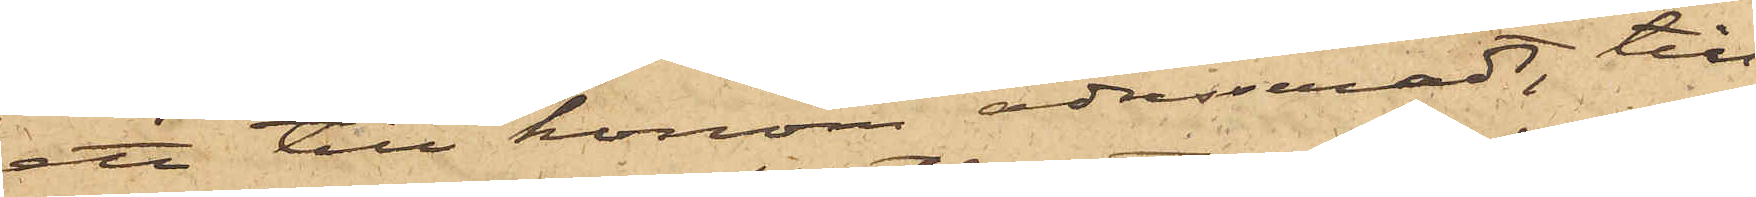ett till honom adresseradt, till
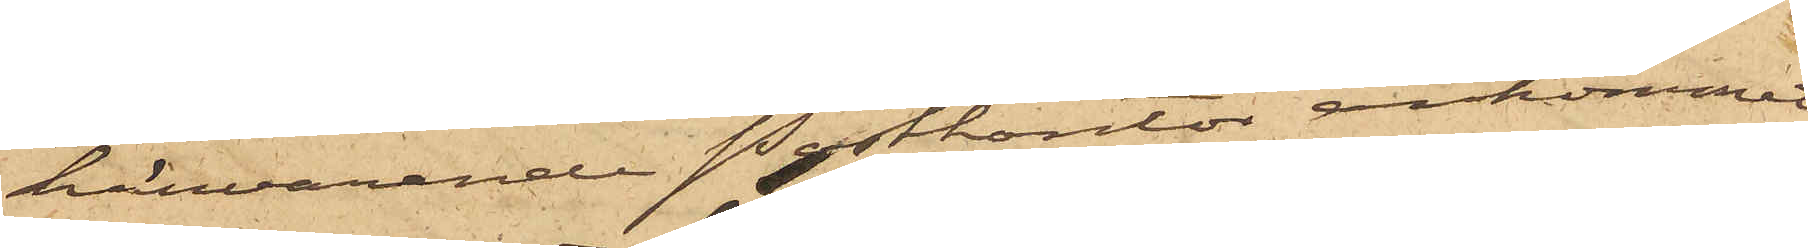härvarande postkontor ankommet
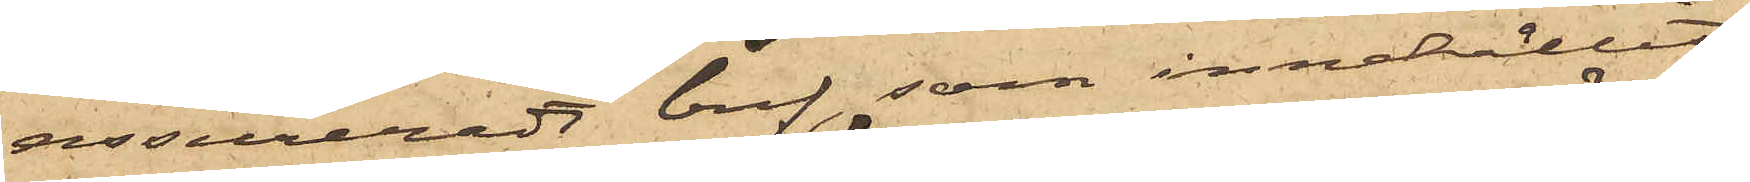assureradt bref, som innehållit
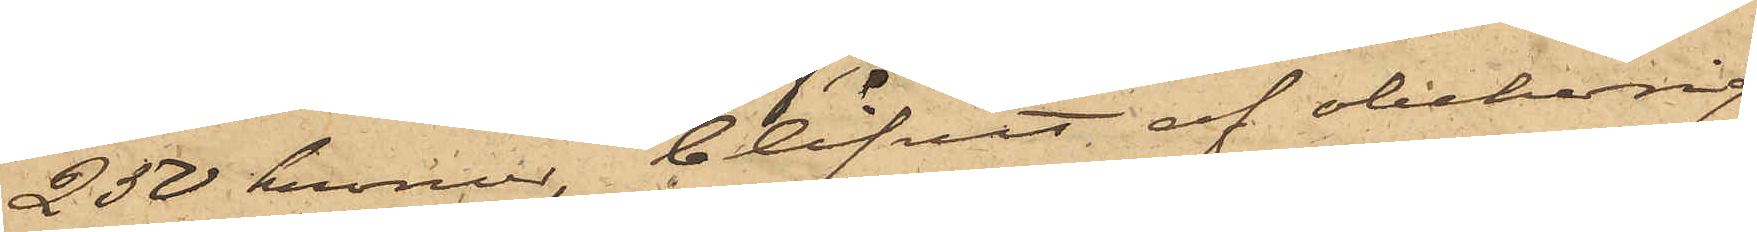250 kronor, blifvit af obehörig
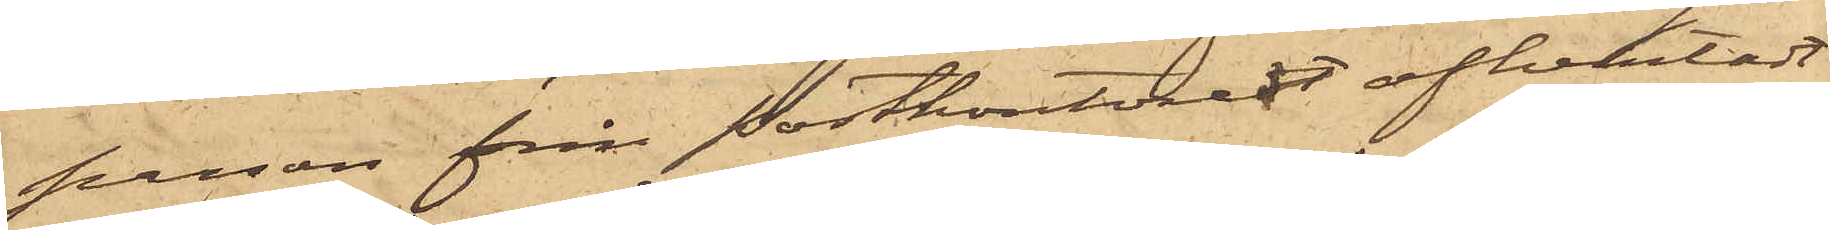person från Postkontoret afhemtadt
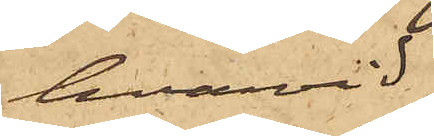hvarvid
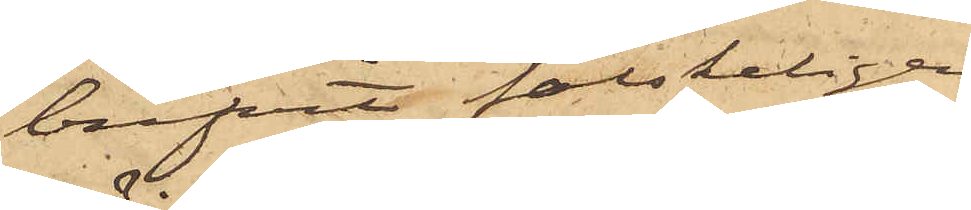brefvet falskeligen
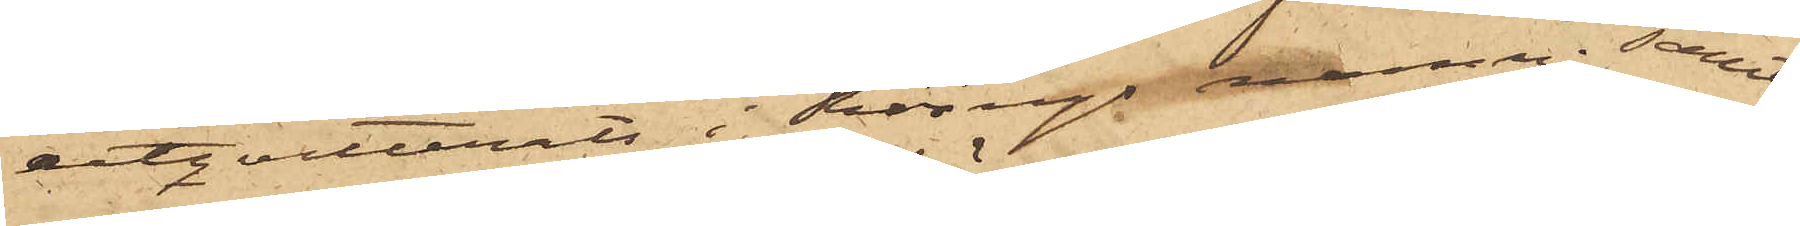utqvitterats i Röings namn; samt
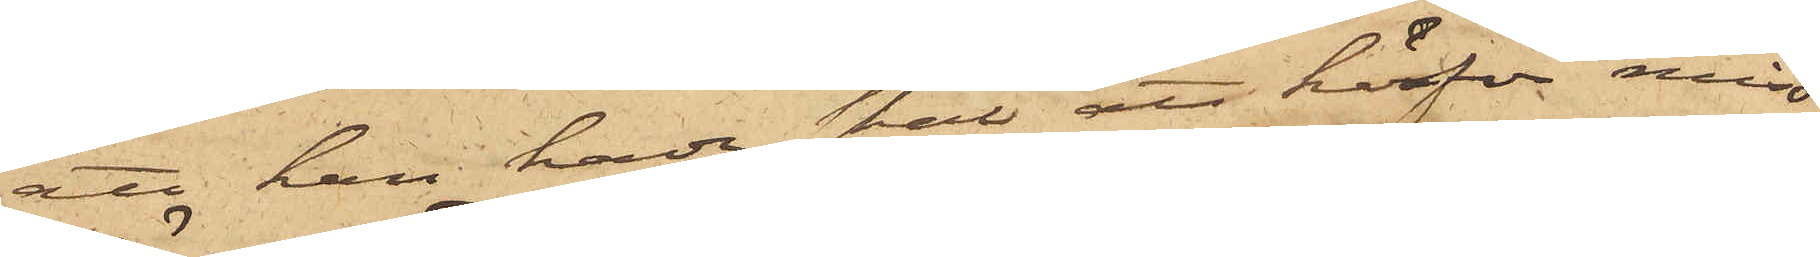att han hade skäl att härför miss¬
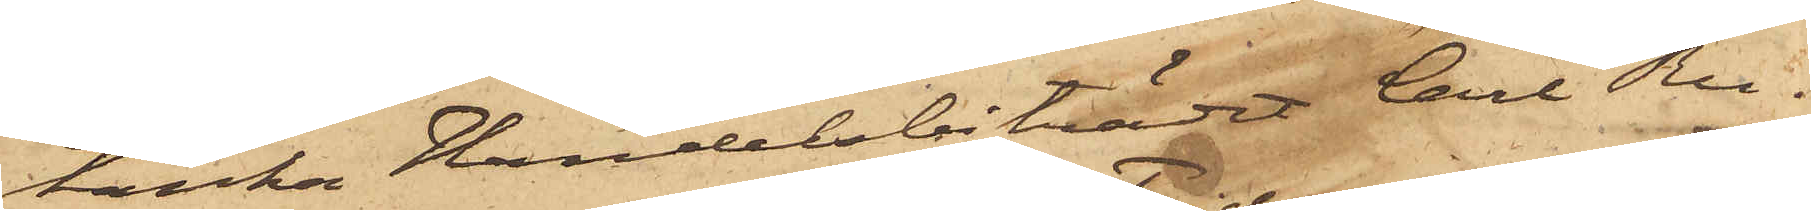tänka Handelsbiträdet Carl Ru¬
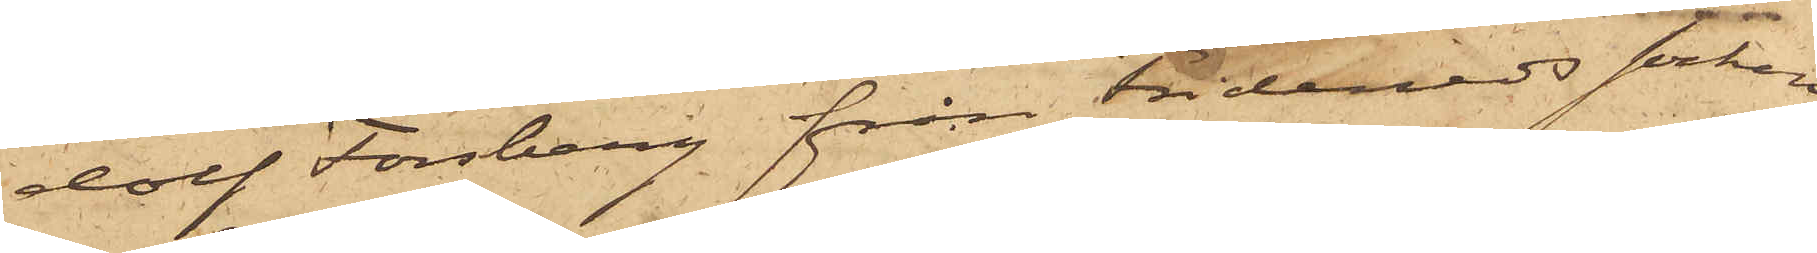dolf Forsberg från Tidevads socken
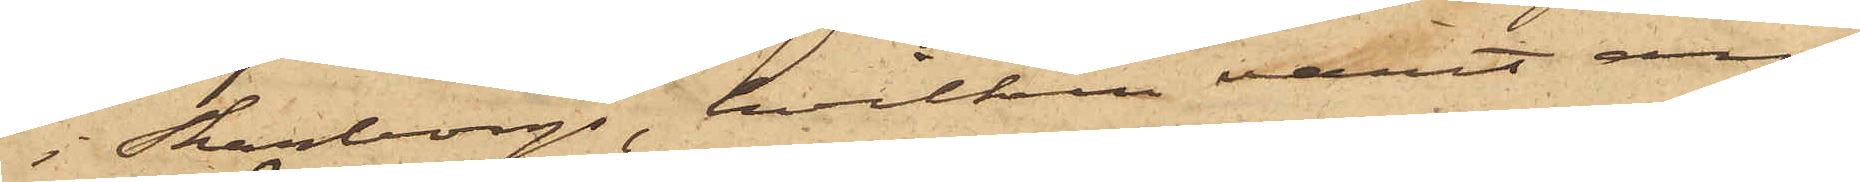i Skaraborg, hvilken varit an¬
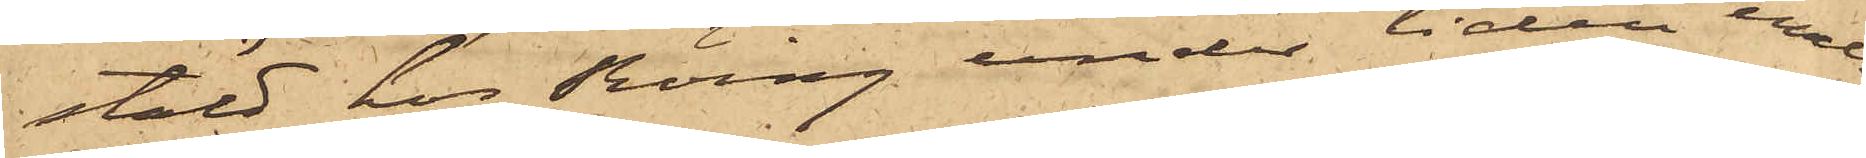stäld hos Röing under tiden emel¬
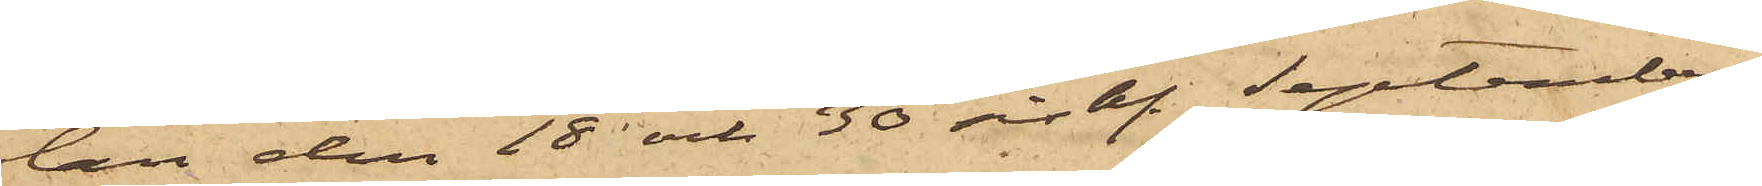lan den 18 och 30 sist. September.
